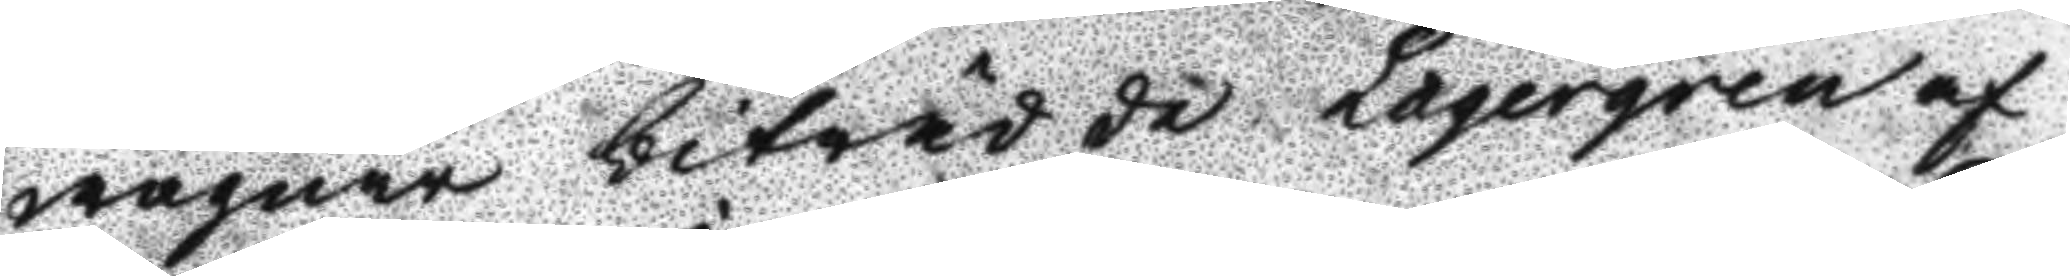wägnar biträdde Lagergren af
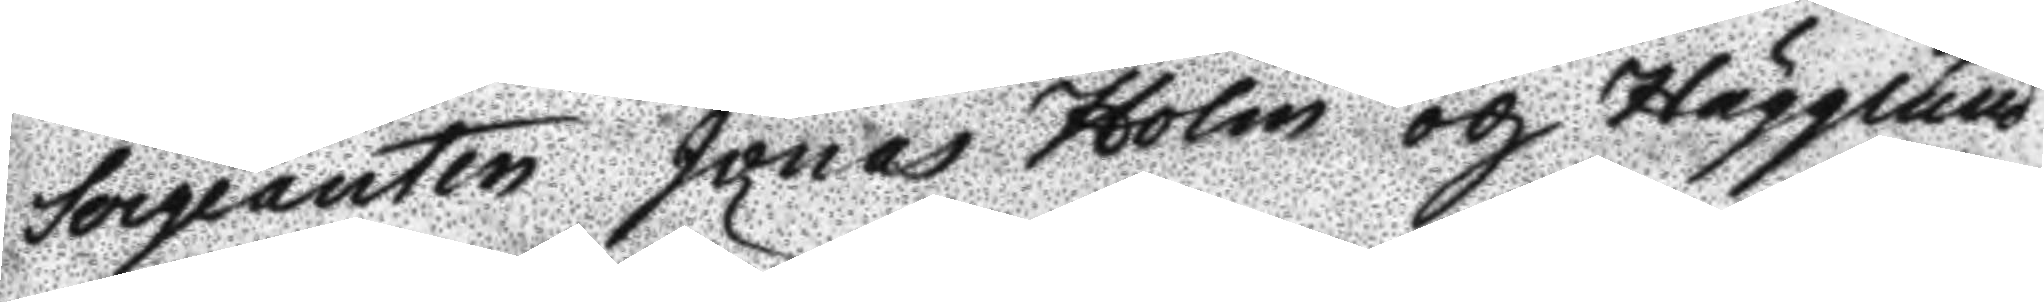Sergeanten Jonas Holm och Hägglund
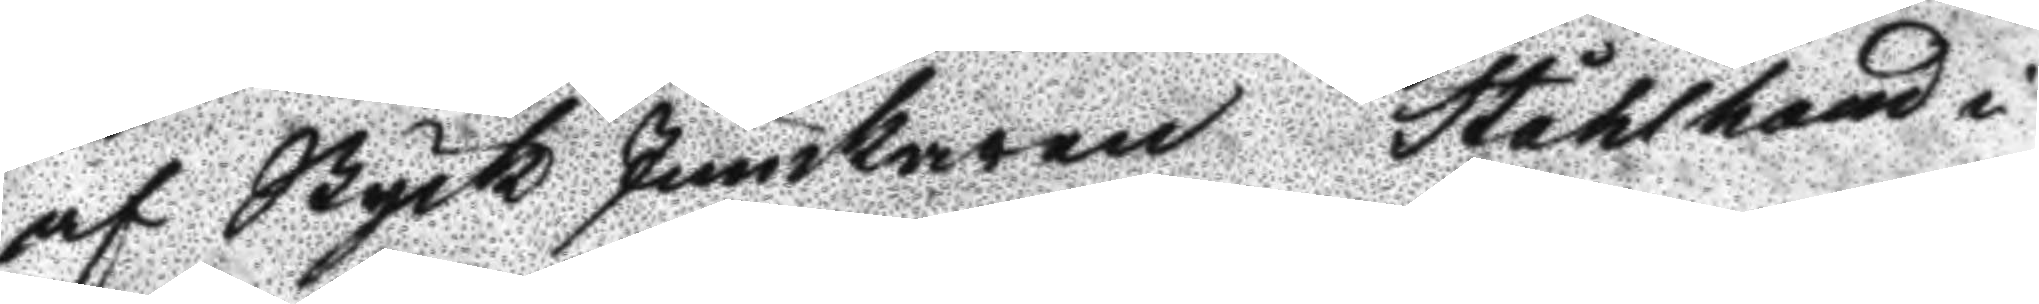af Styck Junkaren Stålhand i
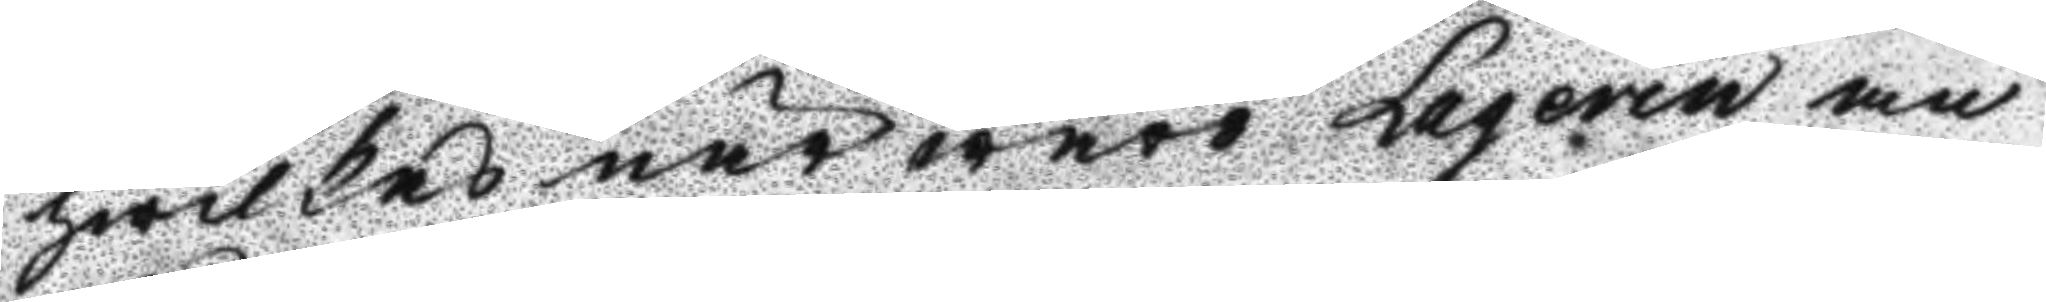hwilkas närwaro Laqerin an
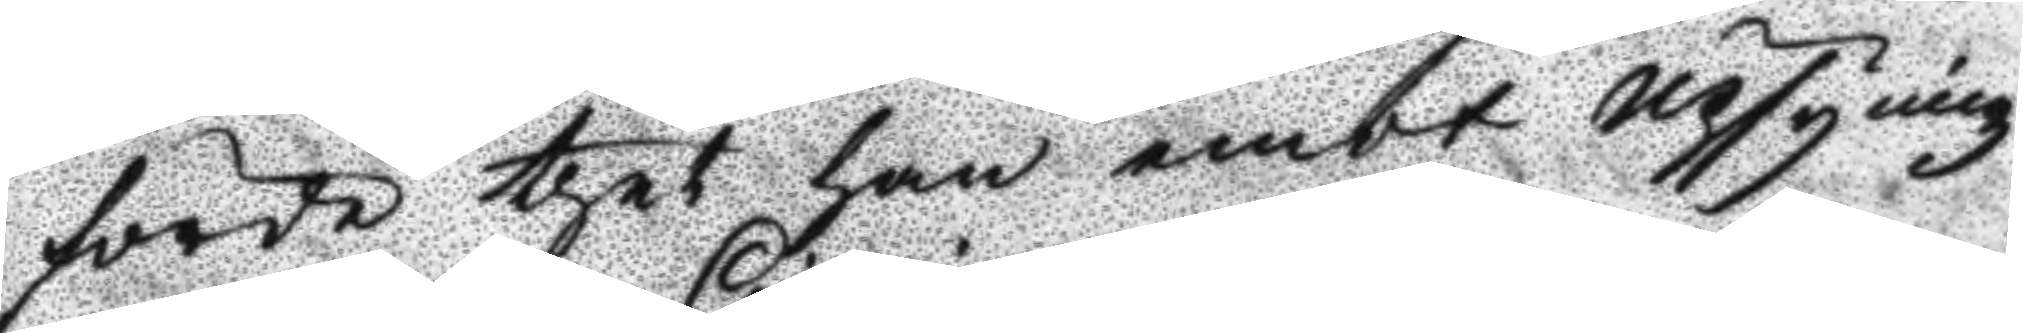förde thet han amot Upsyningz
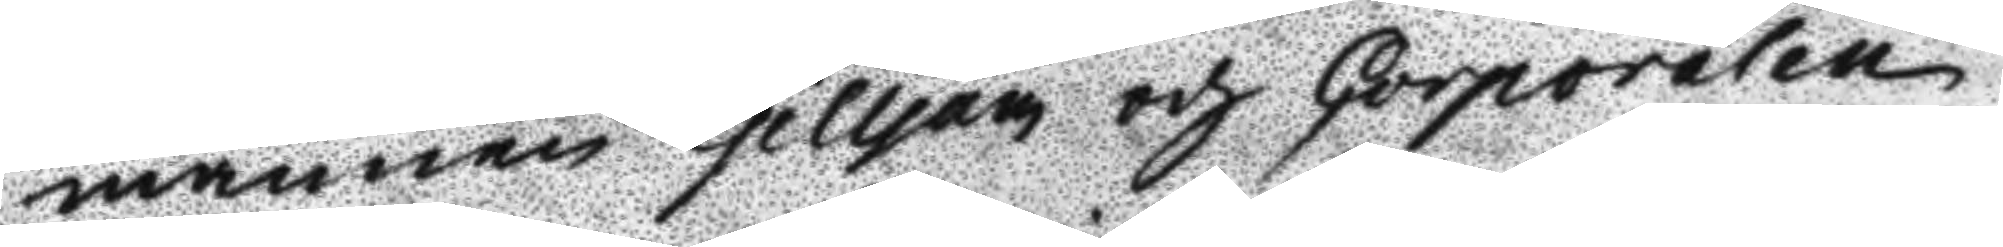mannen Gilljan och Corporalen
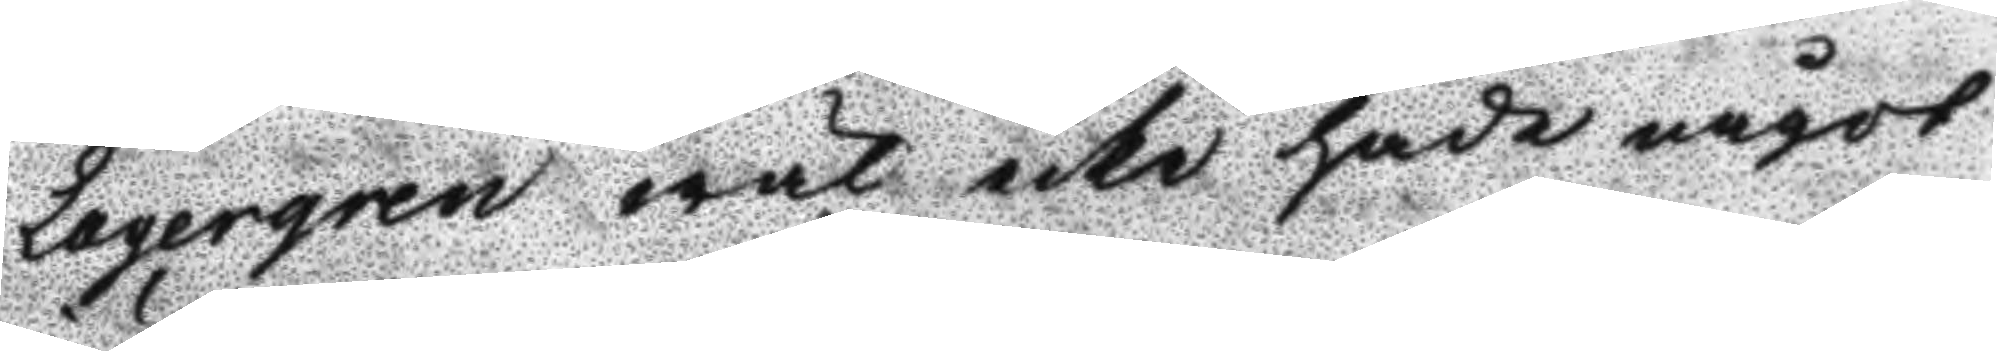Lagergren wäl icke hade något
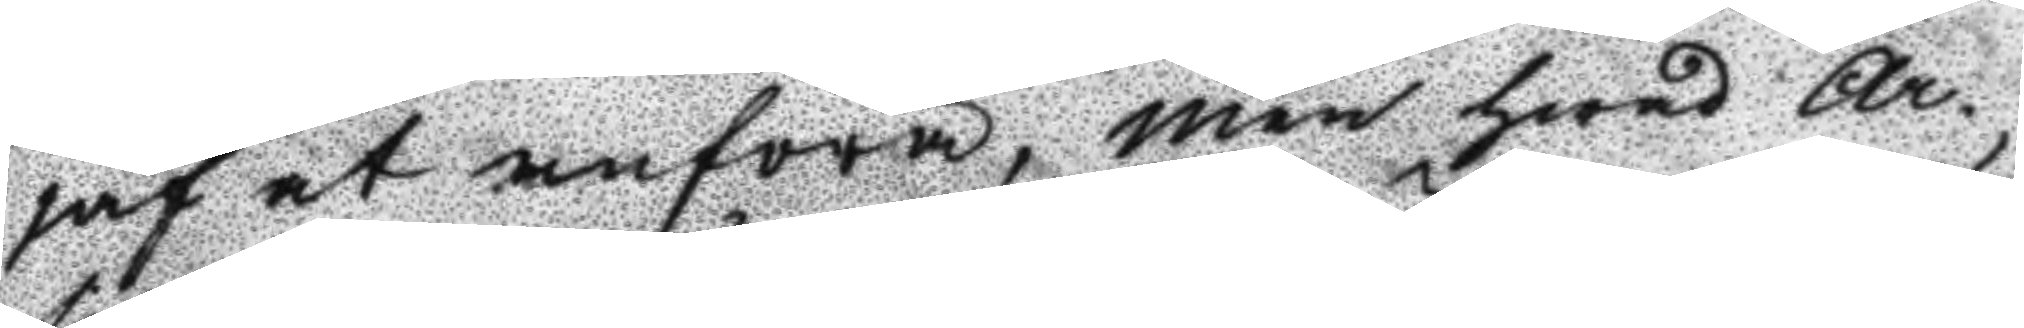jäf at anföra, men hwad Ar¬
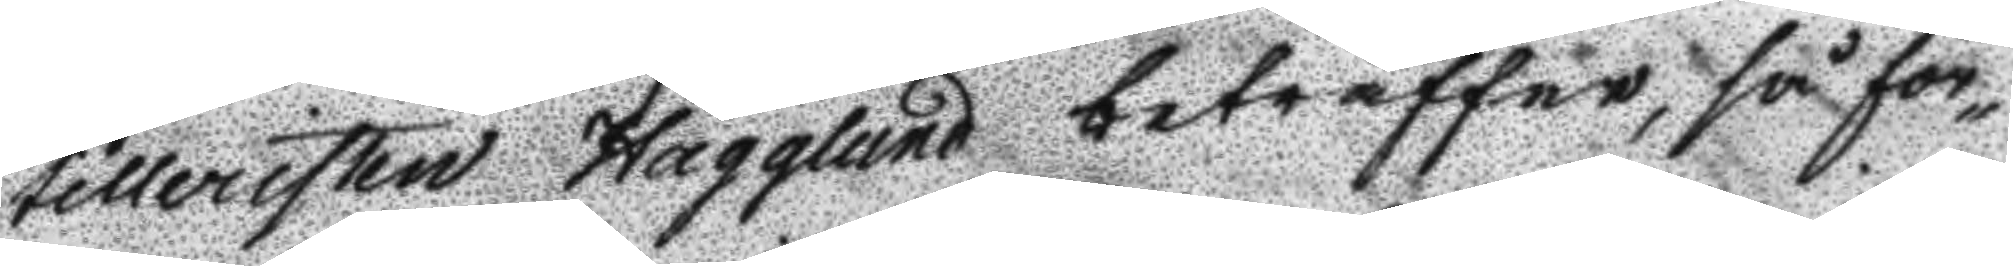tilleristen Hägglund beträffar, så för¬
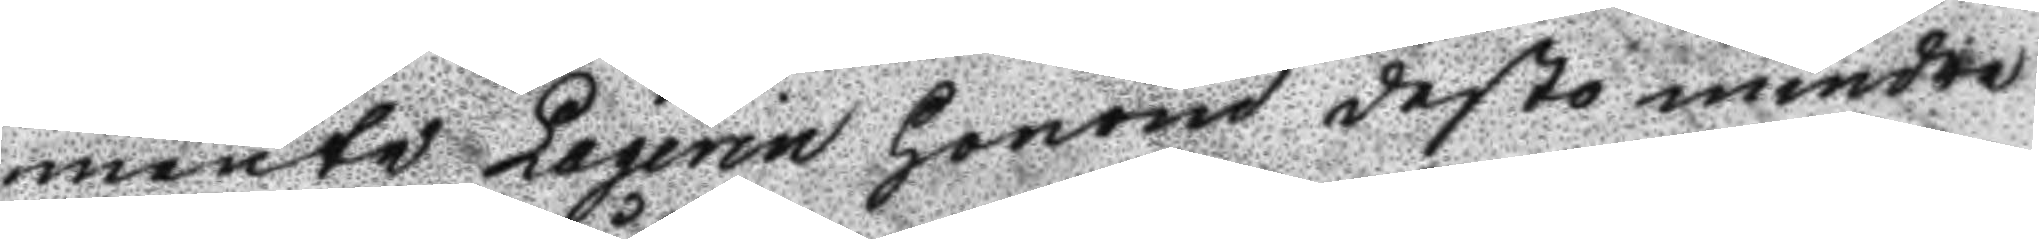mente Laqerin honom desto mindre
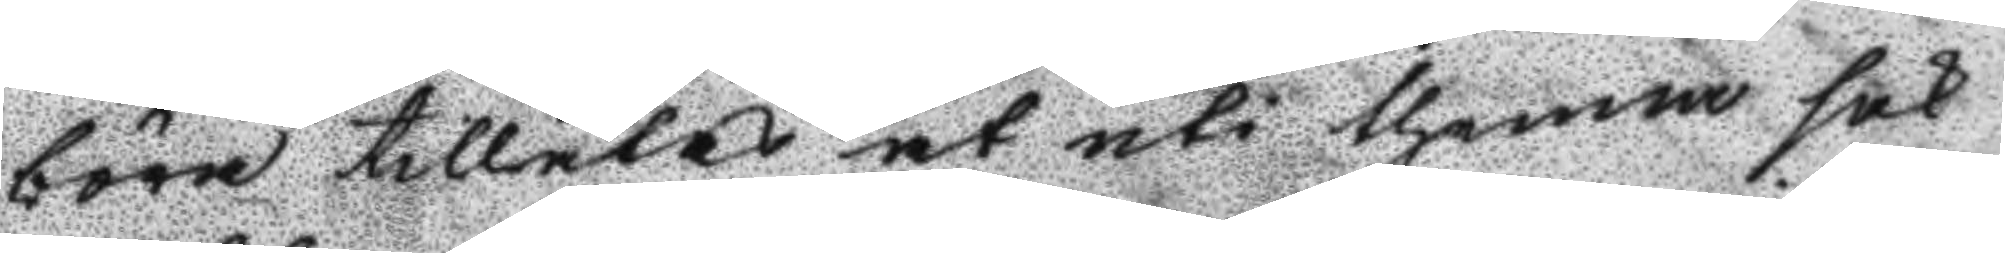böra tillåtas at uti thenna sak
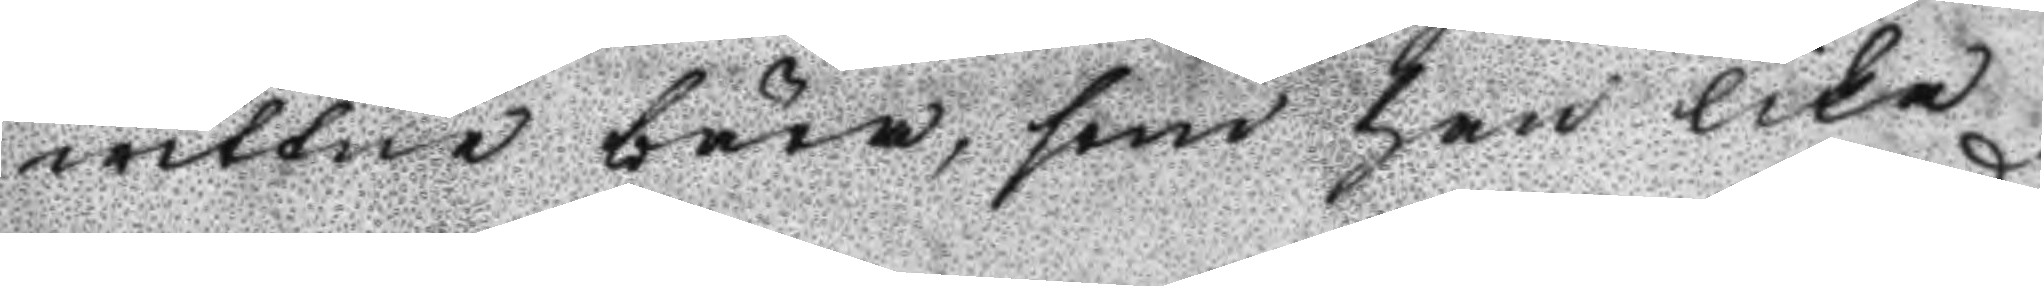wittne bära, som han lika
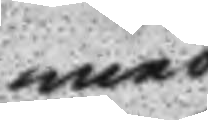med
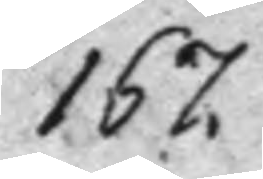167.
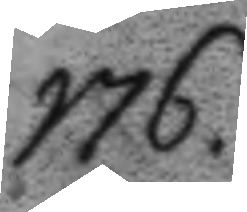176.
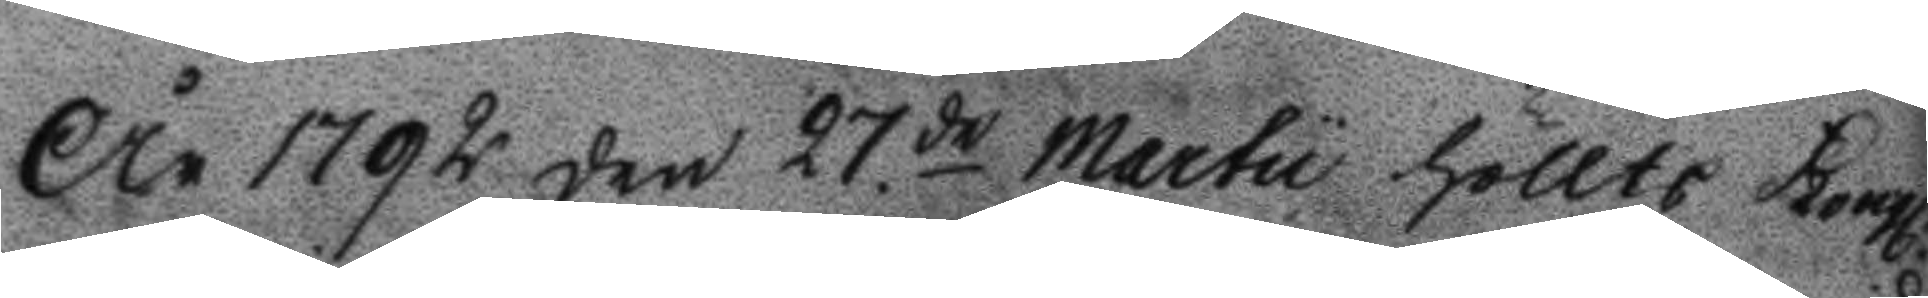År 1792 den 27de Martu höllts Kongl.
